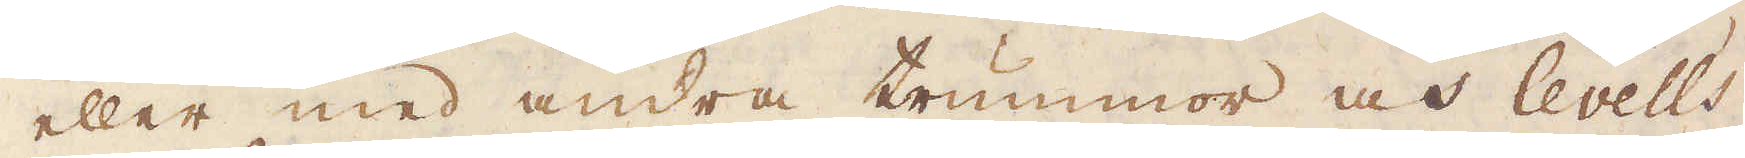eller med andra trummor och levells
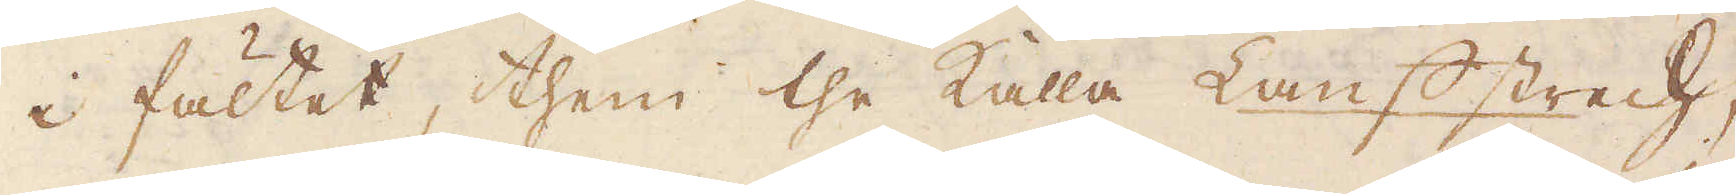i fältet, them the kalla Lauf strech,
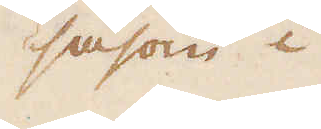såsom i
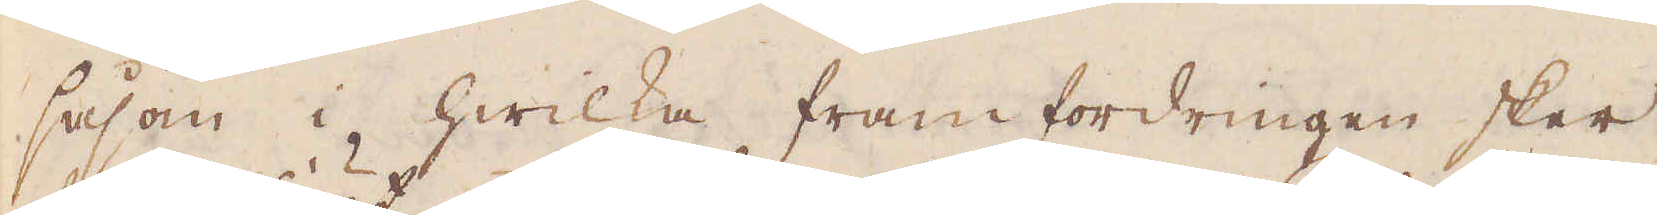såsom i hwilka fram fordringen sker,
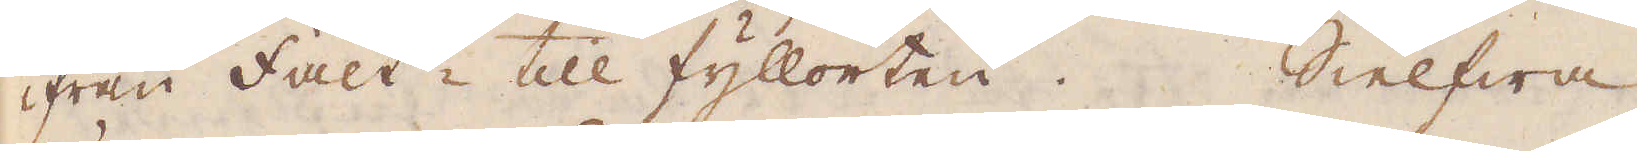ifrån fält till fyllorten. SIelfwa
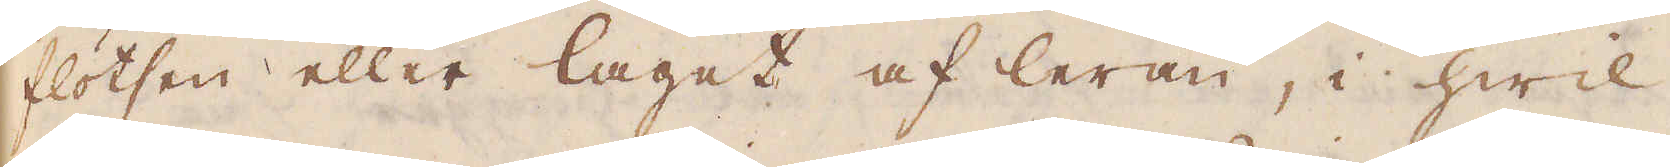flötsen eller laget af leran, i hwil-
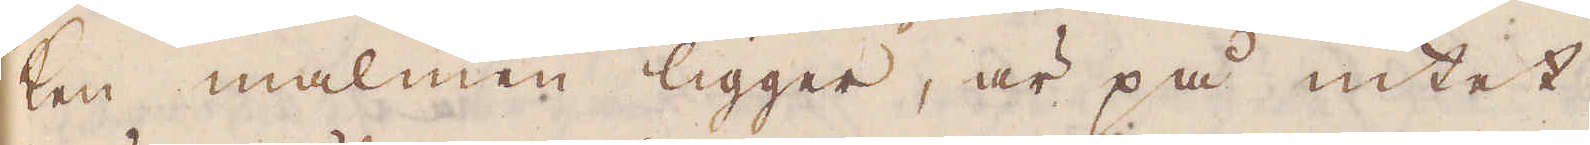ken malmen ligger, är på intet
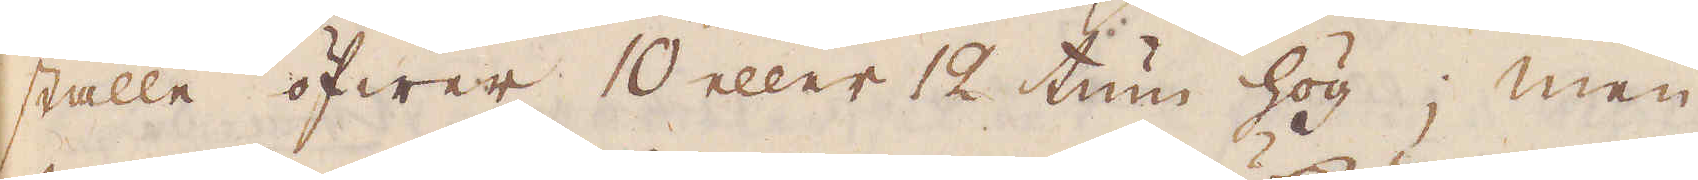ställe öfwer 10 eller 12 tum hög; men
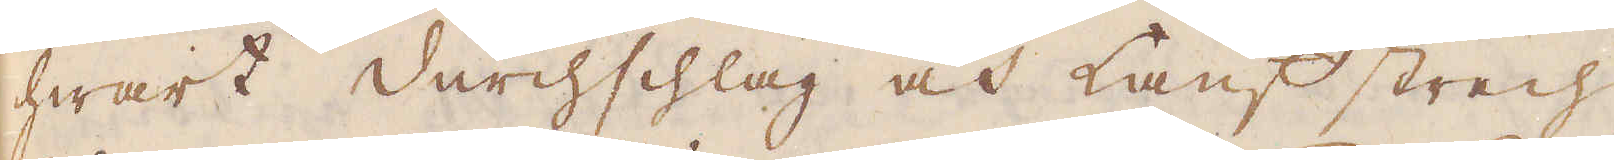hwart Durchschlag och Lauf strech
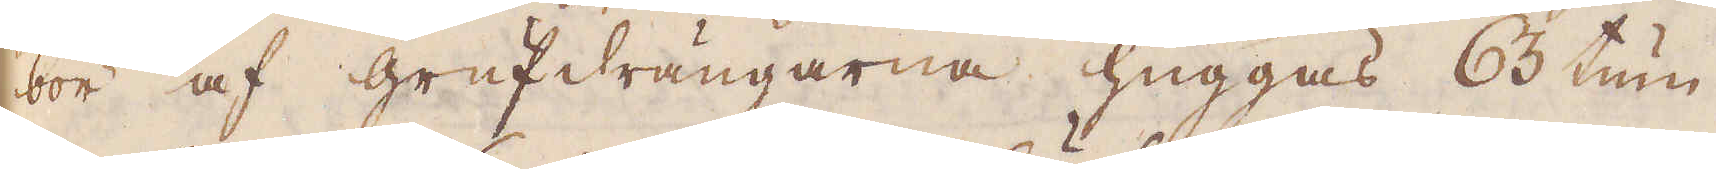bör af grufdrängarna huggas 63 tum
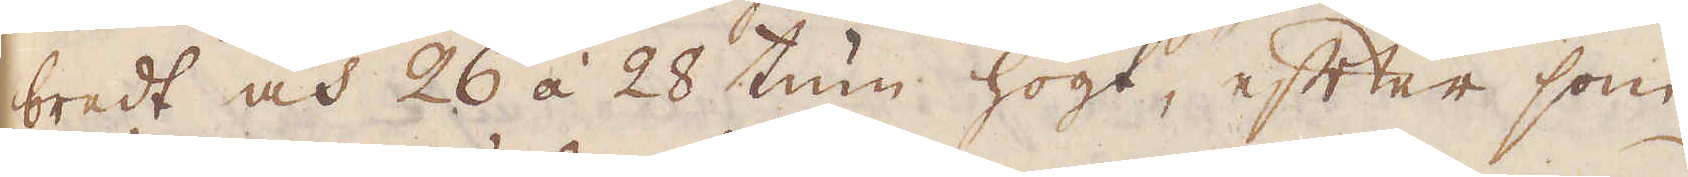bredt och 26 á 28 tum högt, efter som
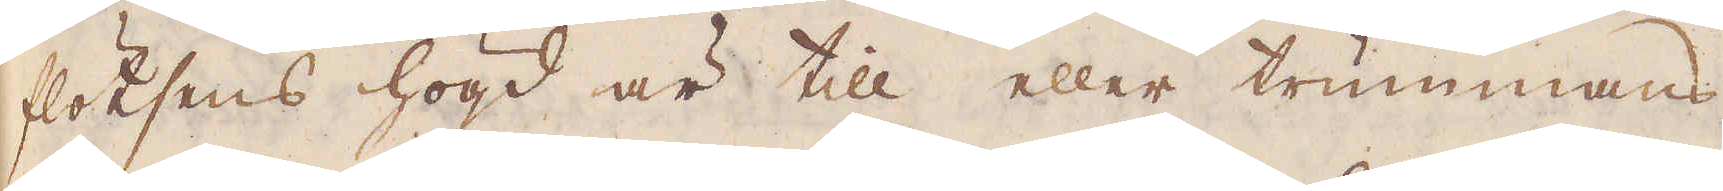flötsens högd är till eller trummans
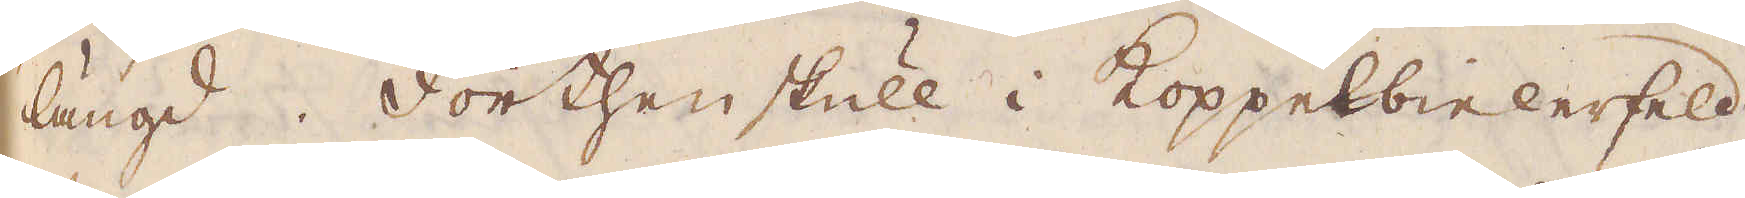längd. Förthenskull i Koppelbielerfeld
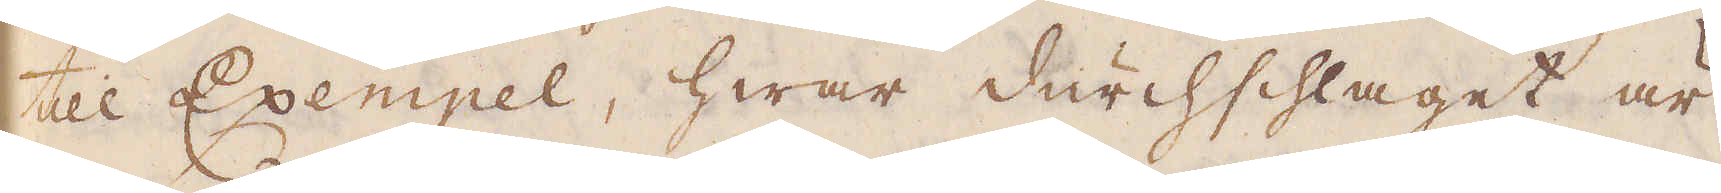till Exempel, hwar durchsslaget är
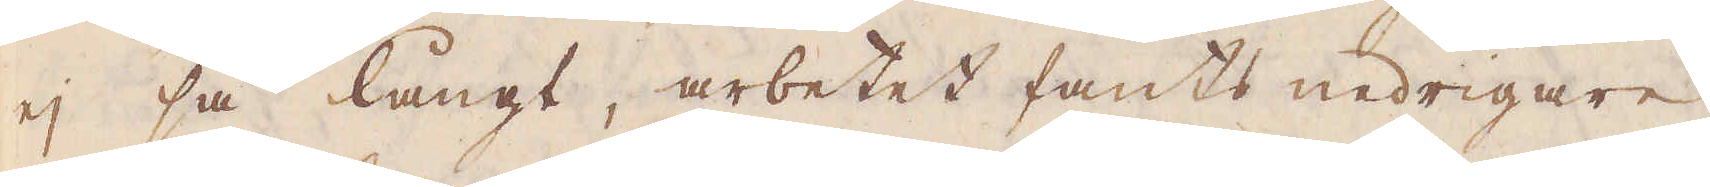ej så långt, arbetet fants nedrigare
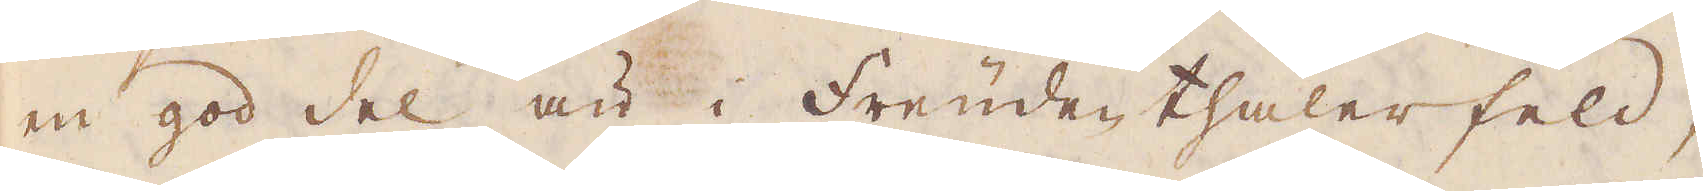en god del än i Freudenthaler feld,
